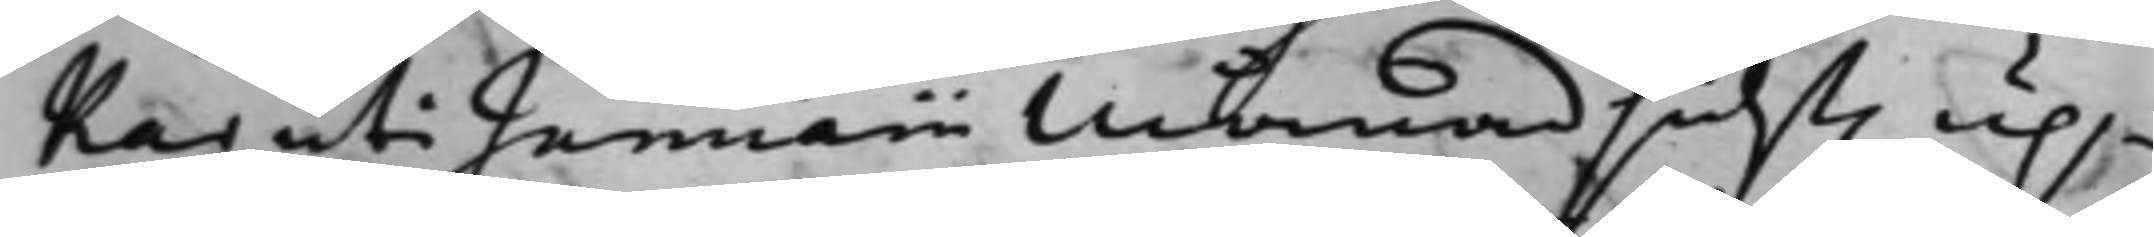kar uti Januarii Månad sidst. up¬
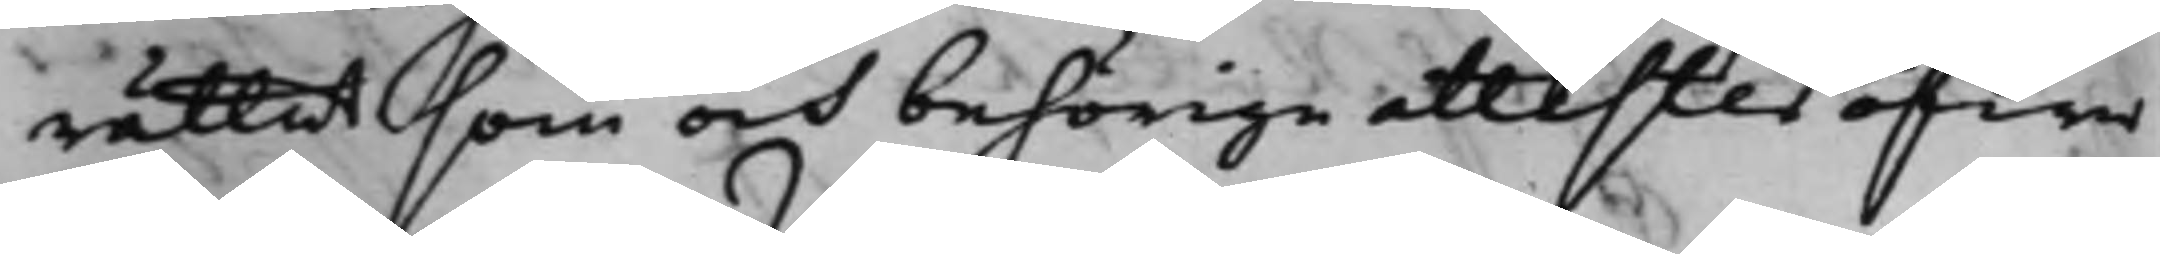rättat som och behörige attester öfwer
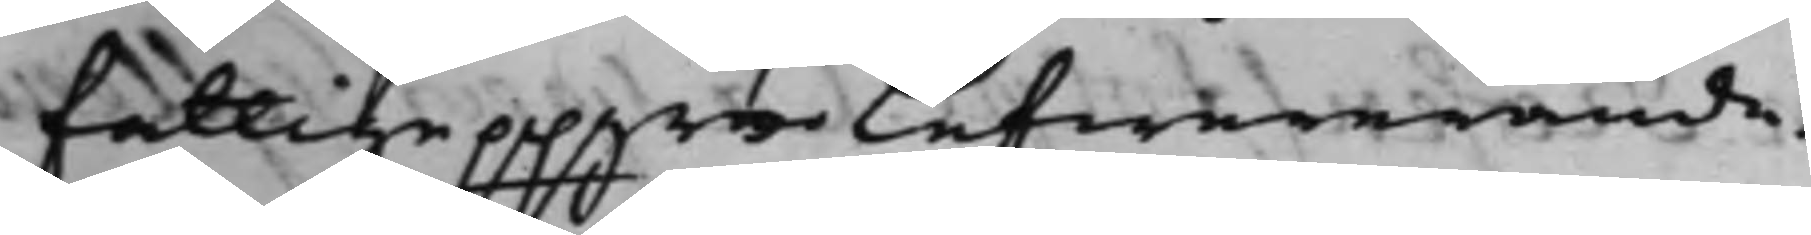fattige ppgrns lefwererande.
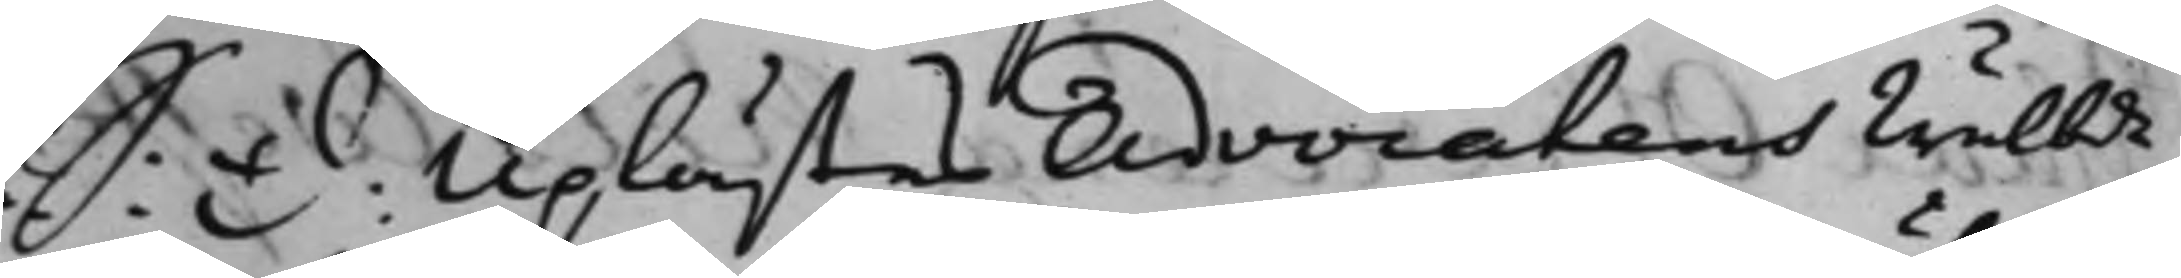S: D: Uplästes Advocatens Wälbde
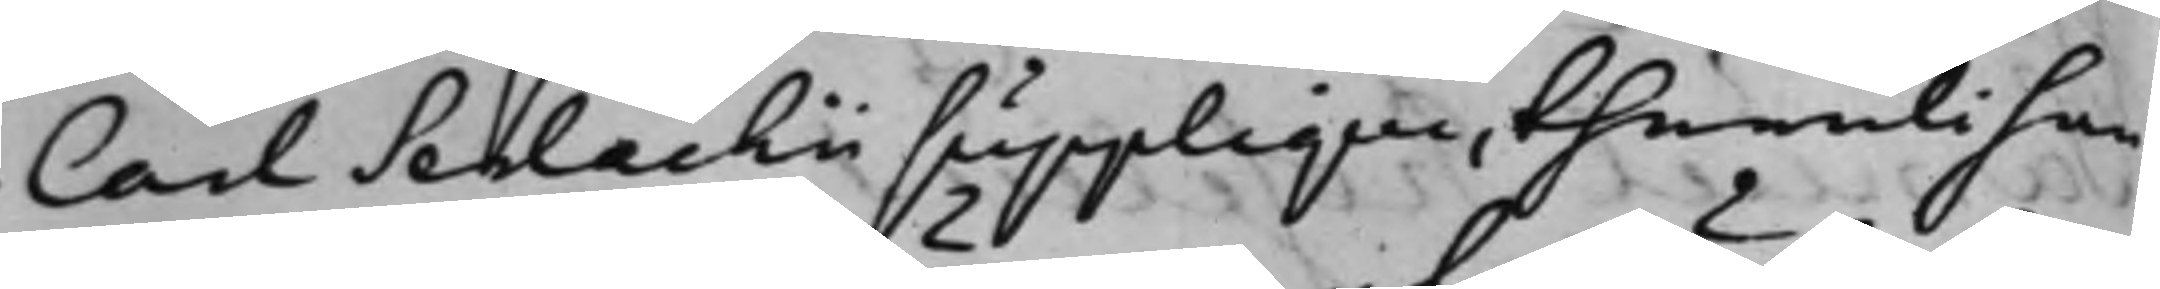Carl Serlachii supplique, theruti han
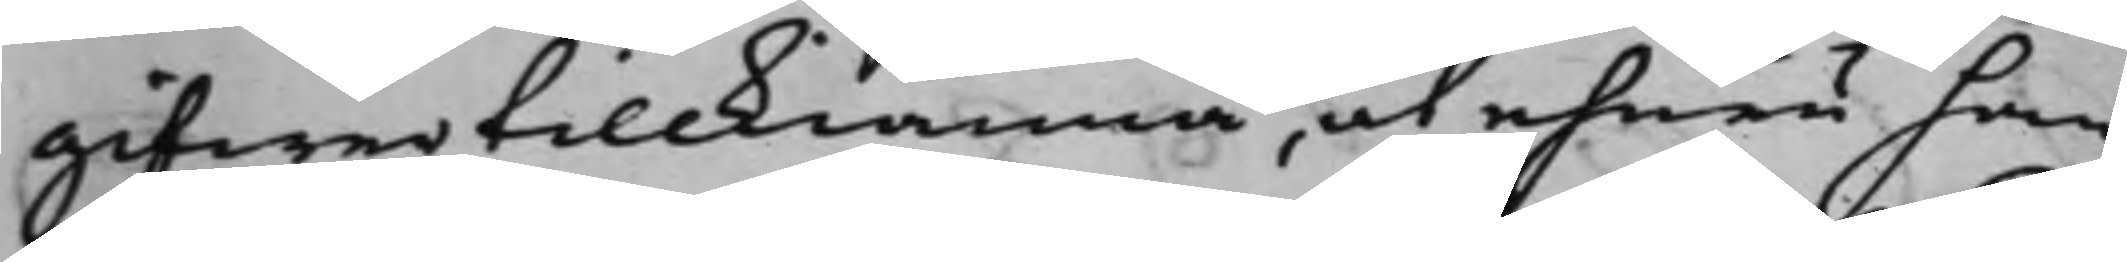gifwer tillkiänna, at ehuru han
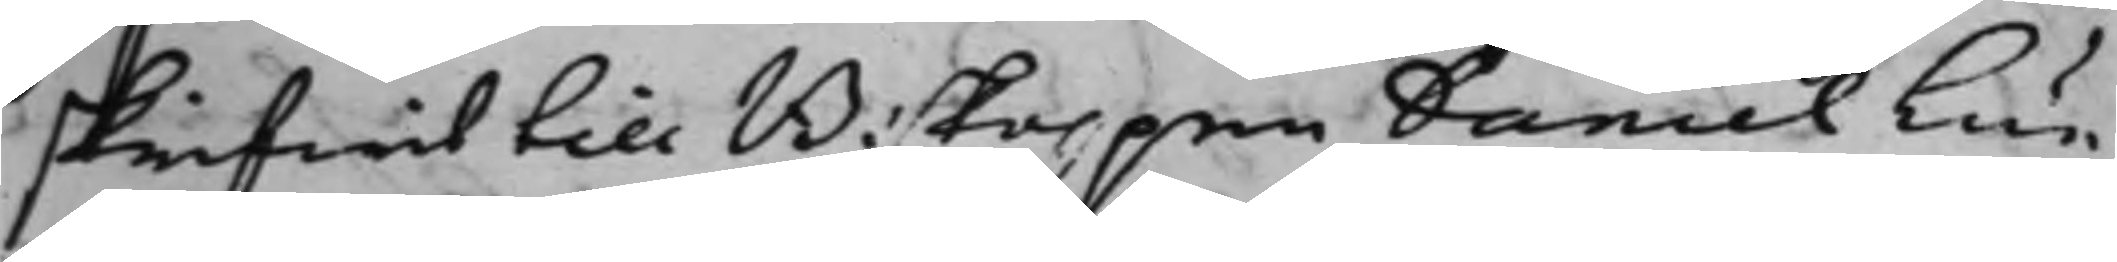skrifwit till Biskoppen Daniel Lun¬
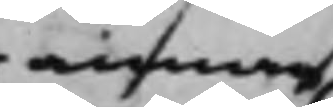annan
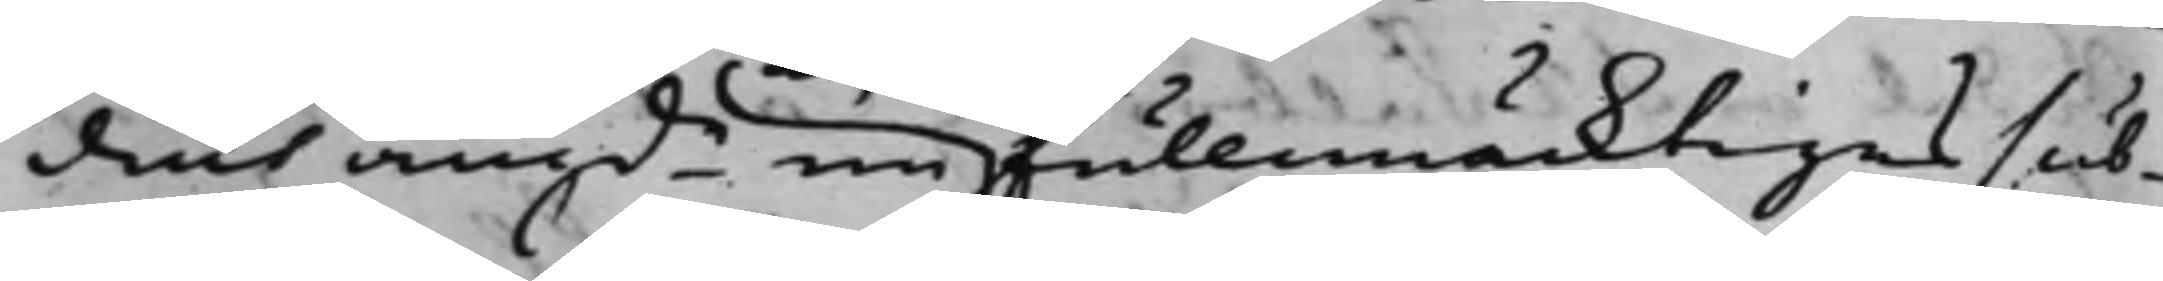dius angde en fullmäcktiges sub¬
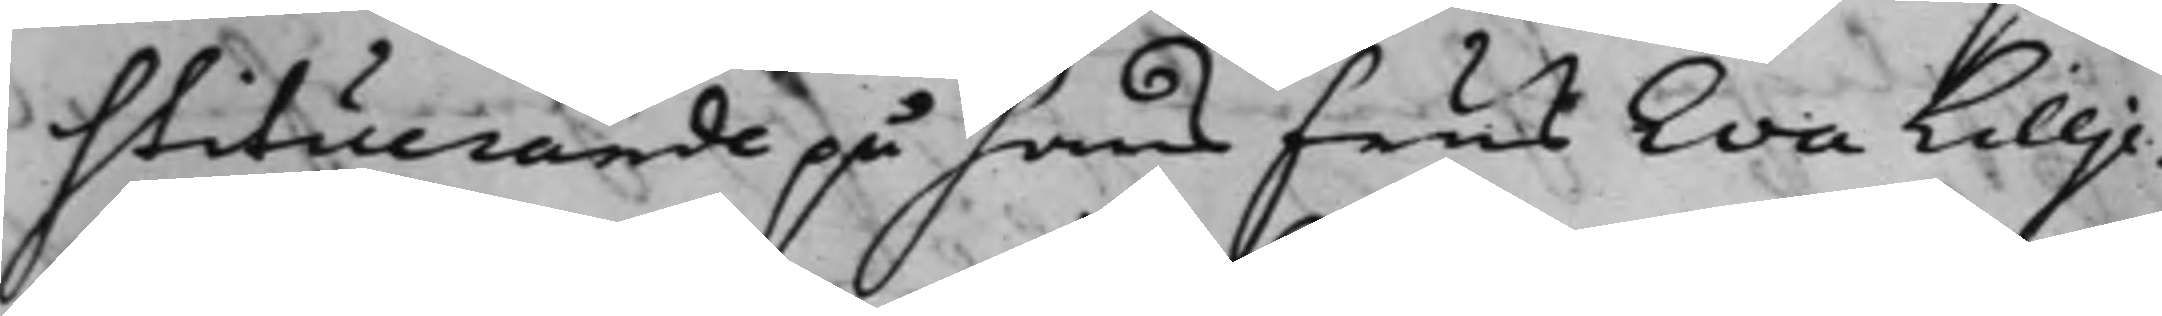stituerande på hans Frus Eva Lillje¬
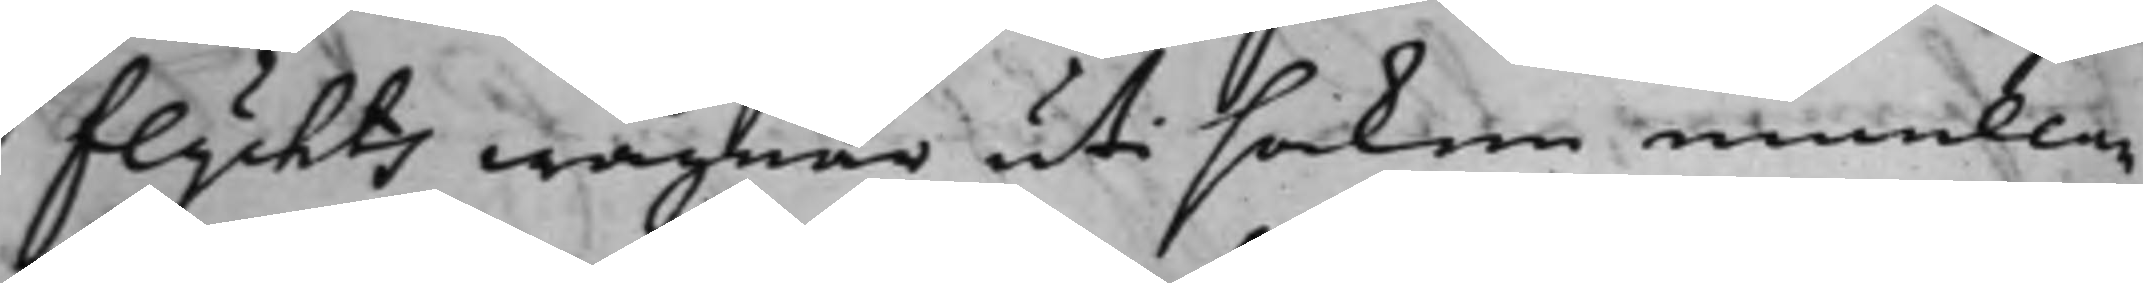flychts wägnar uti saken emellan
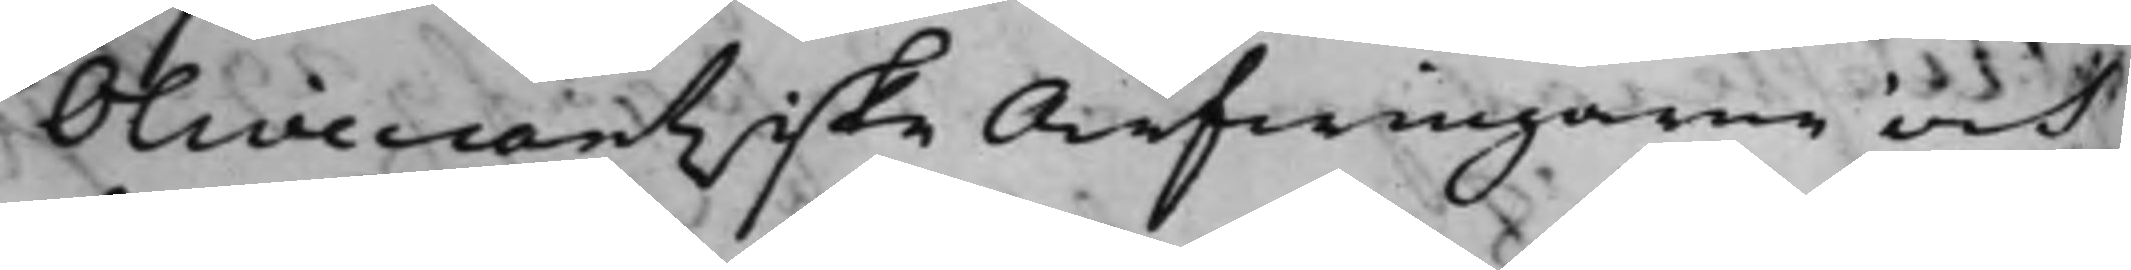Olivecrantziske Arfwingarne och
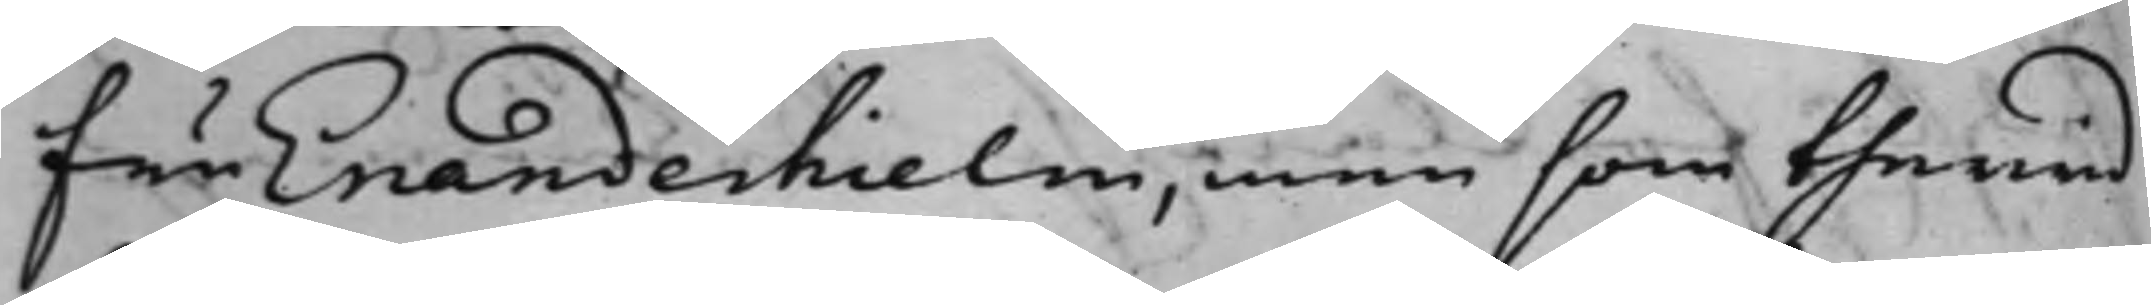Fru Enanderhielm, men som therwid
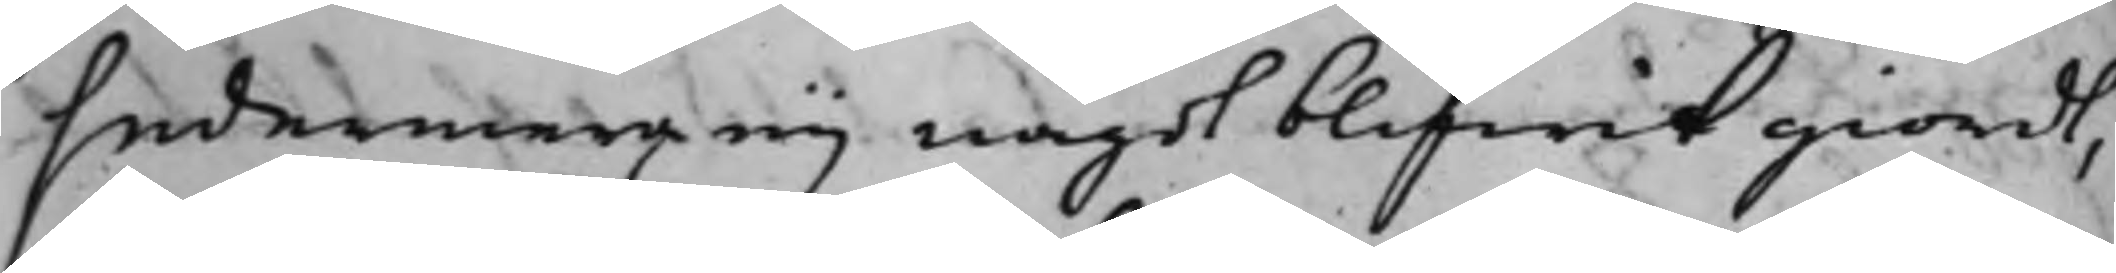sedermera eij något blifwit giordt,
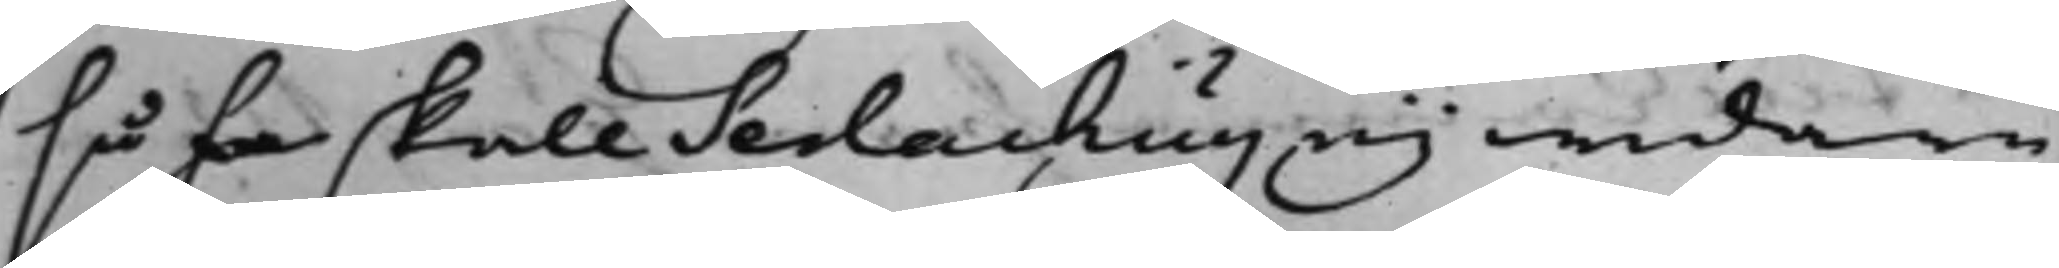så ha skall Serlachus eij widare
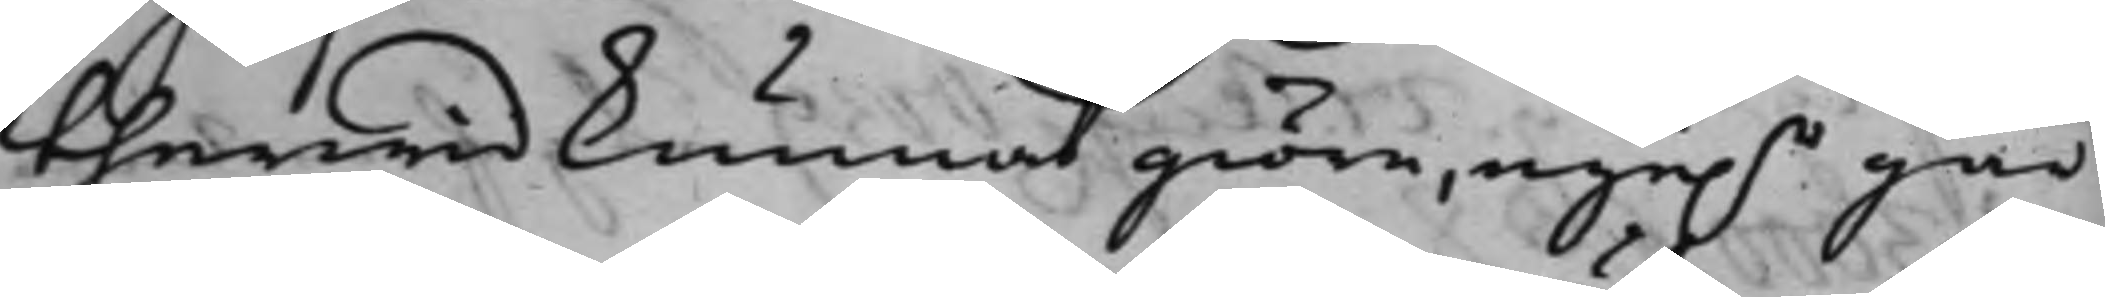therwid kunnat giöra, eije.r går
